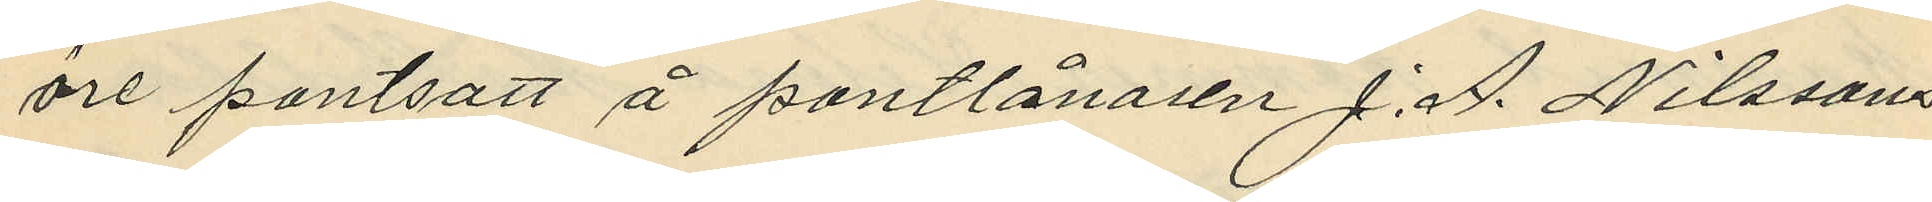öre pantsatt å pantlånaren J. A. Nilssons
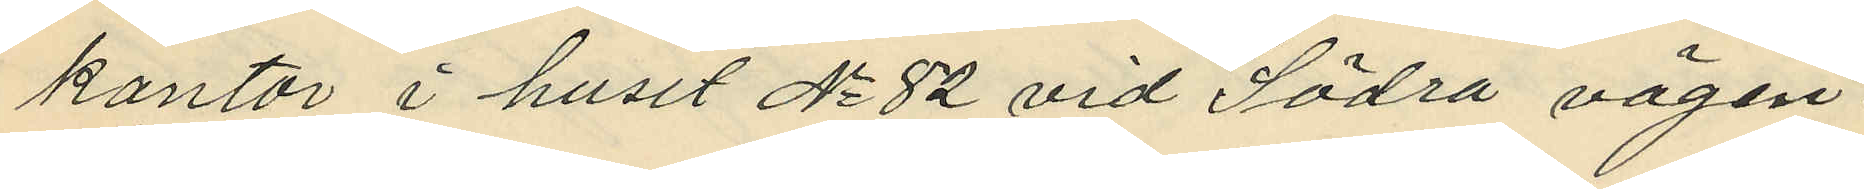kontor i huset No 82 vid Södra vägen;
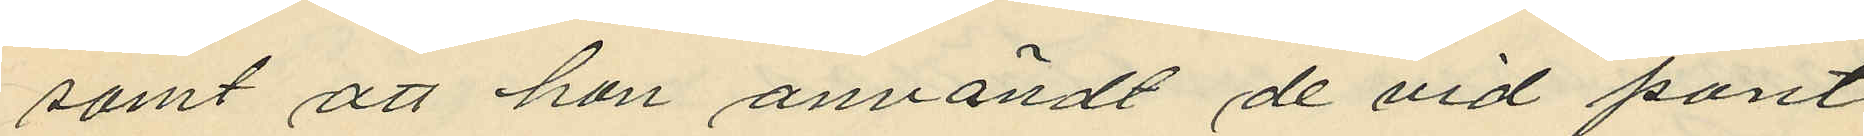samt att hon användt de vid pant¬
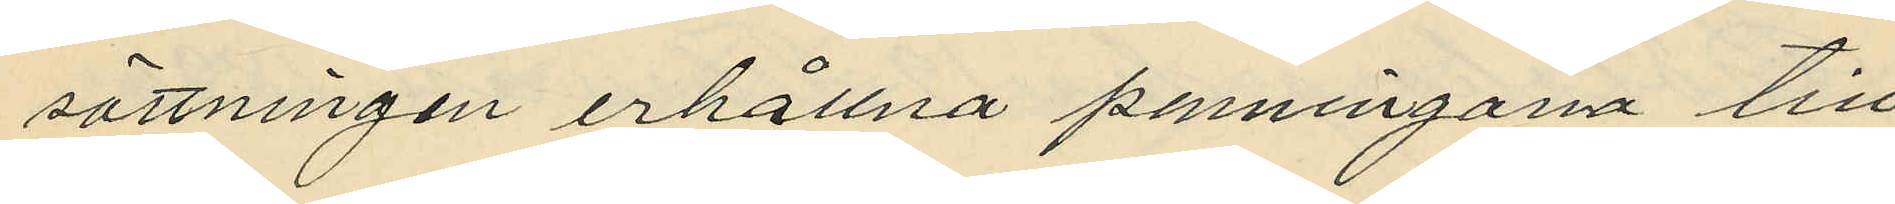sättningen erhållna penningarna till
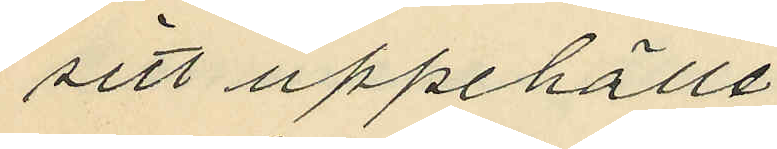sitt uppehälle.
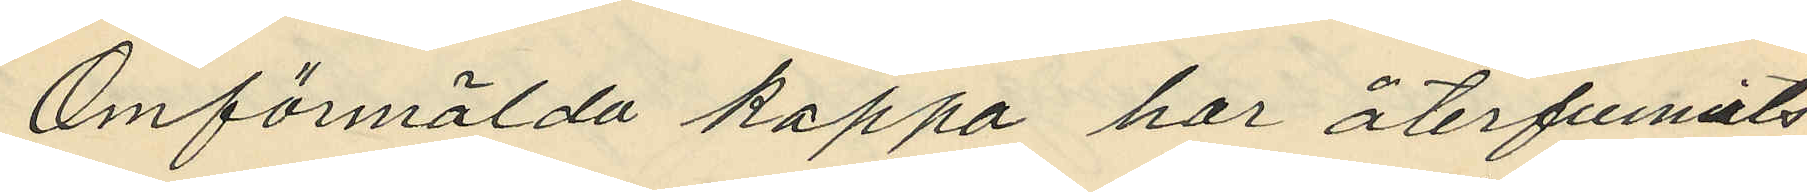Omförmälda kappa har återfunnits
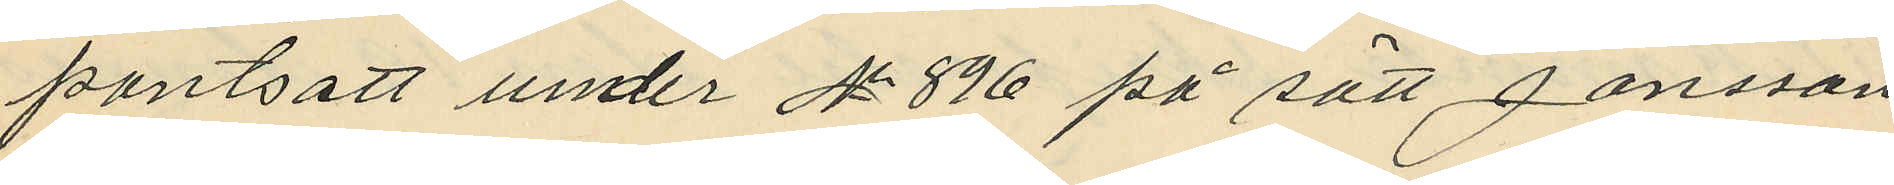pantsatt under No 896 på sätt Jansson
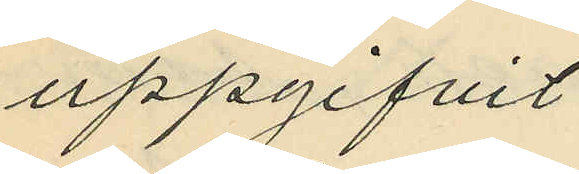uppgifvit.
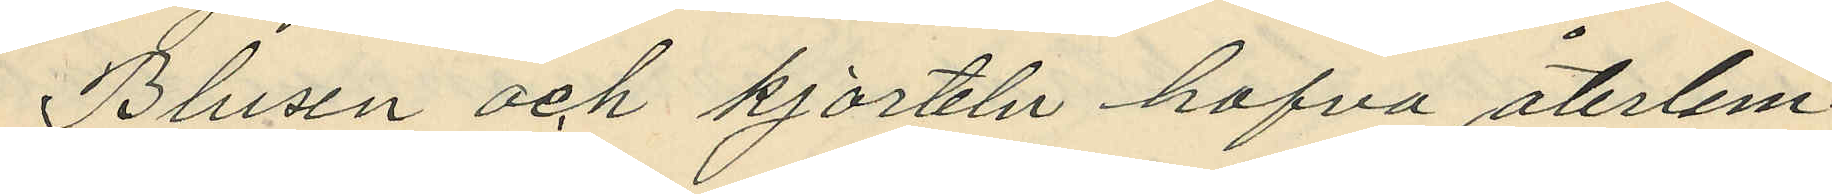Blusen och kjorteln hafva återlem¬
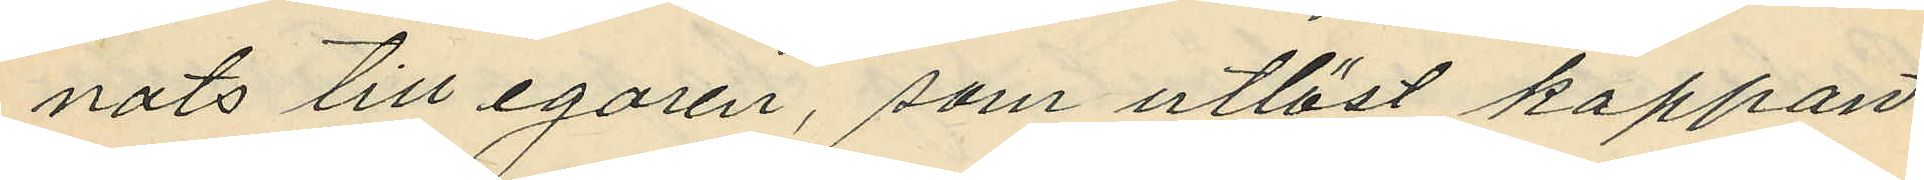nats till egaren, som utlöst kappan.
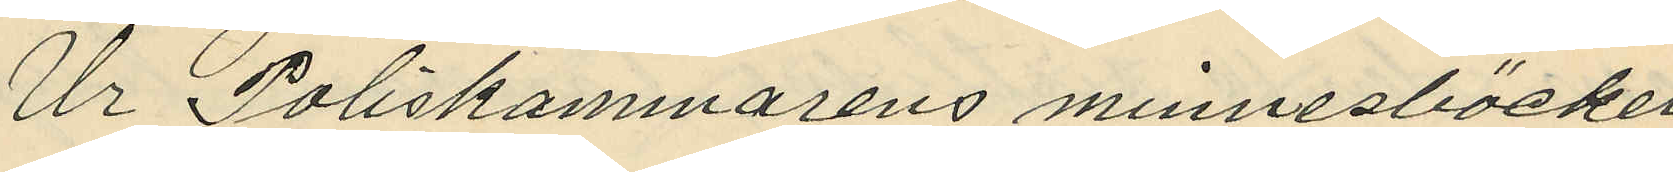Ur Poliskammarens minnesböcker
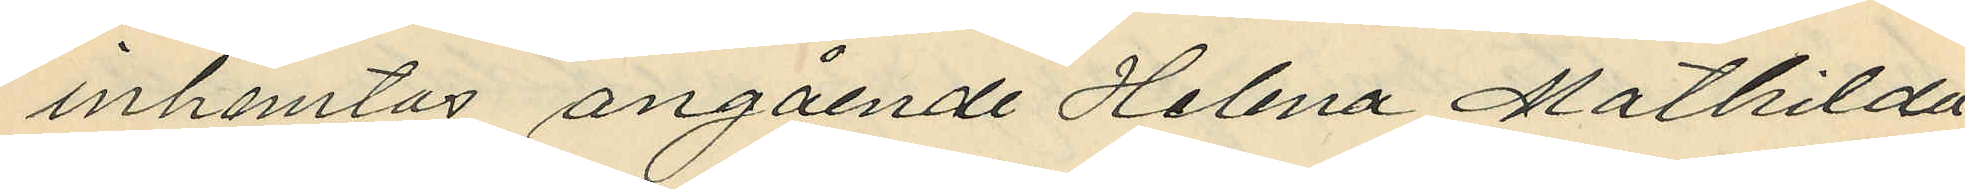inhemtas angående Helena Mathilda
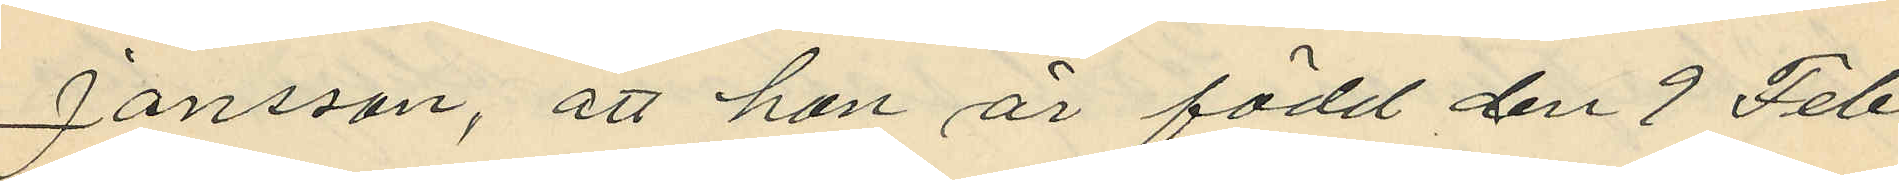Jansson, att hon är född den 9 Feb¬
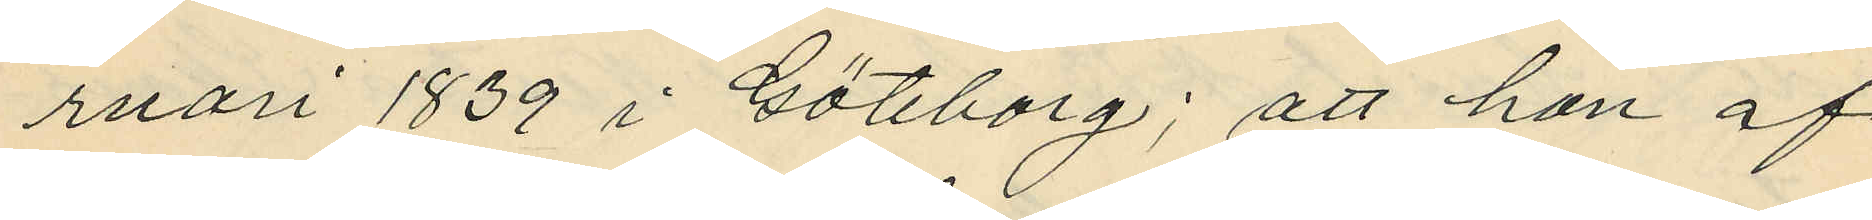ruari 1839 i Göteborg; att hon af
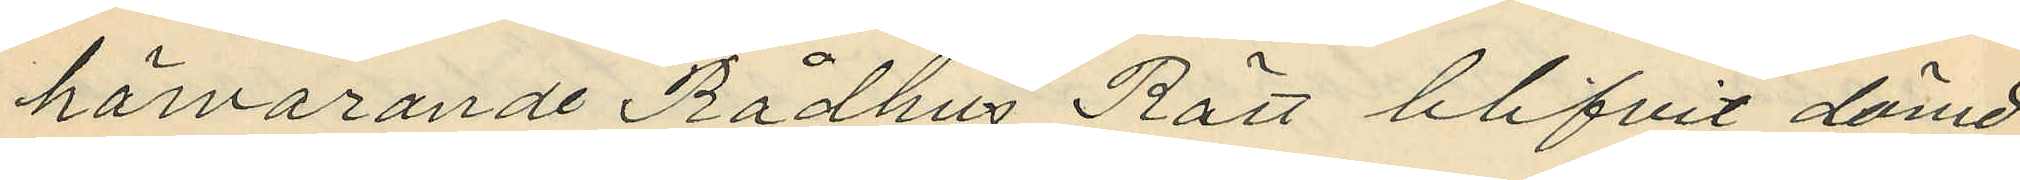härvarande Rådhus Rätt blifvit dömd
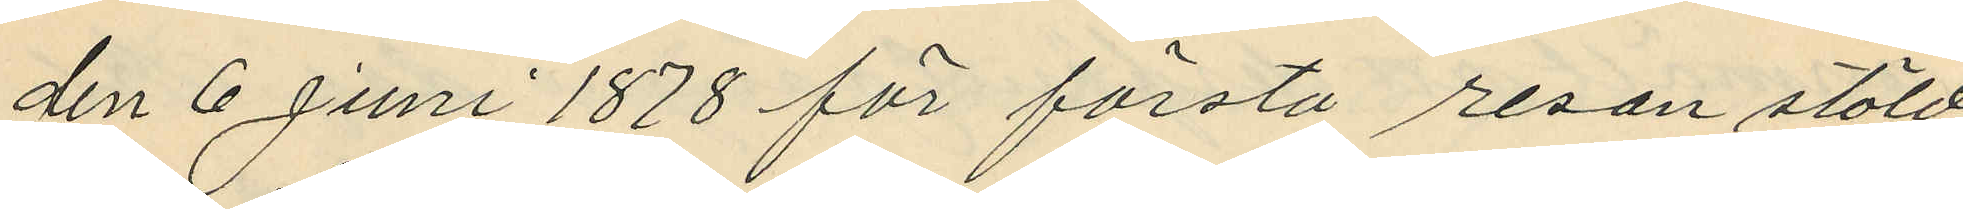den 6 Juni 1878 för första resan stöld
